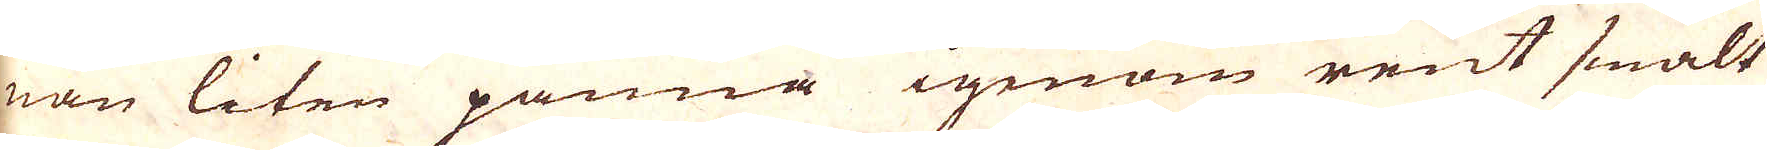nan liten panna igenom rent smält
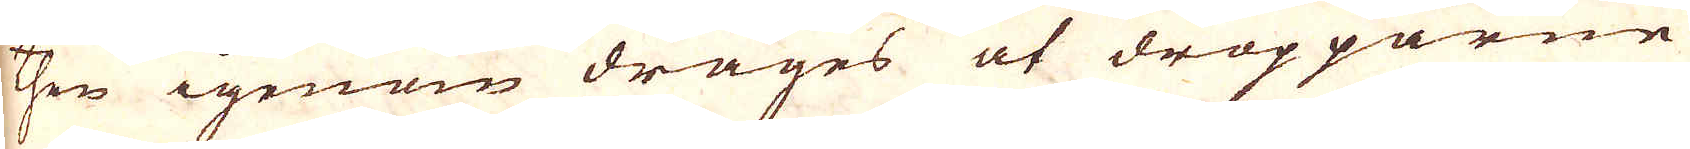then igenom drages at dropparne
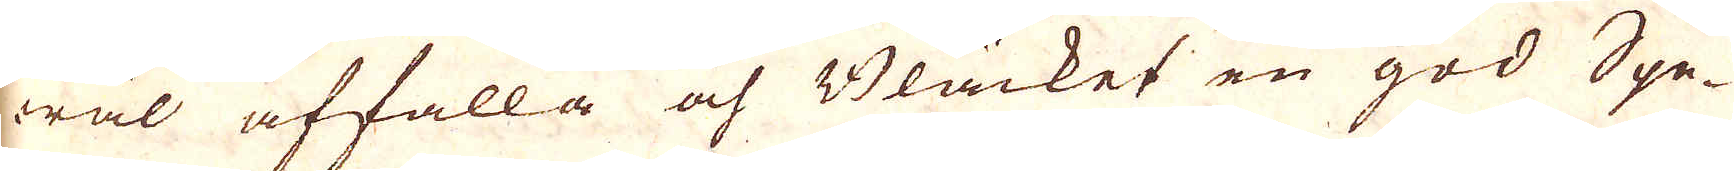wäl affalla och Bläcket en god Spe-
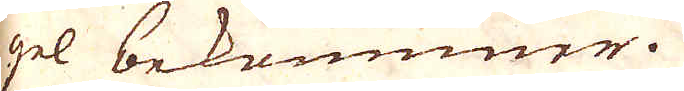gel bekommer.
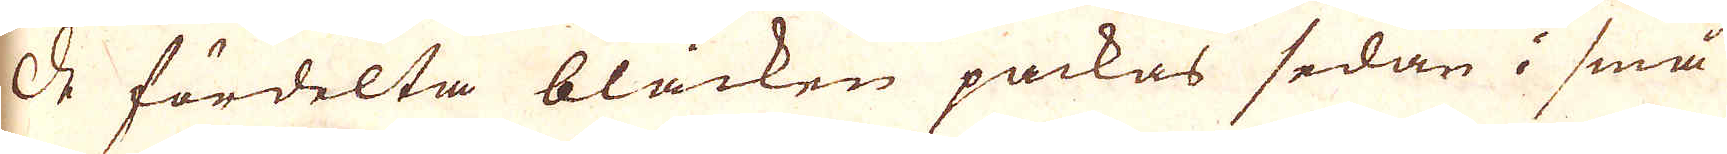de fördelta bläcken packas sedan i små
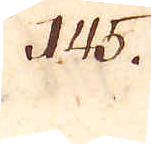145.
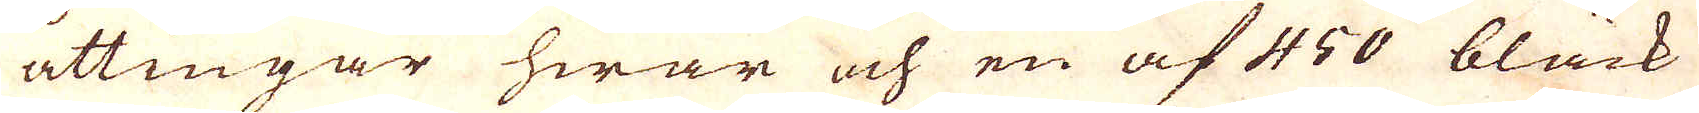åttingar hwar och en af 450 bläck
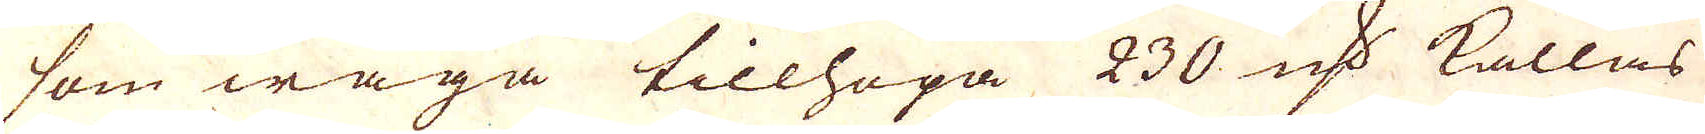som wäga tillhopa 230 qv:r kallas
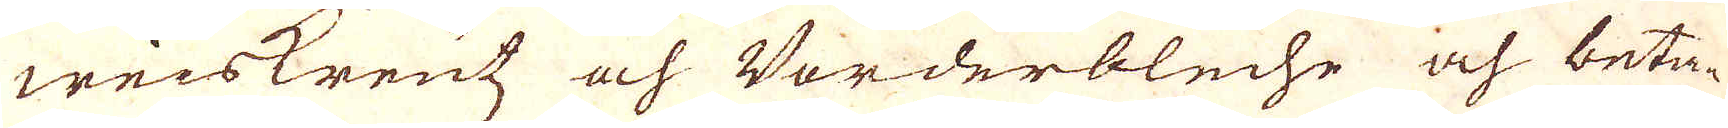weiskrentz och Borderbleche och beta-
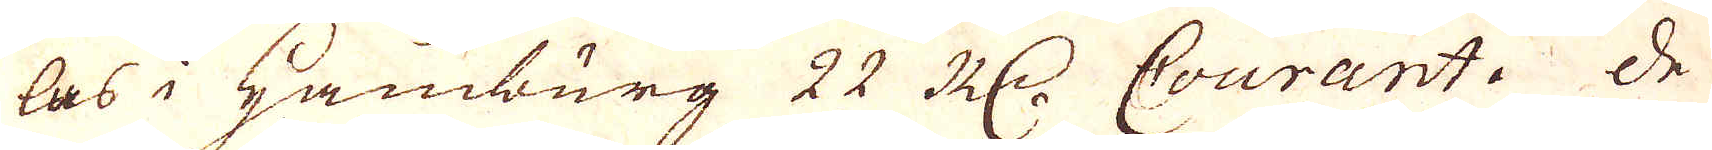las i Hamburg 22 R:dr Courant. De
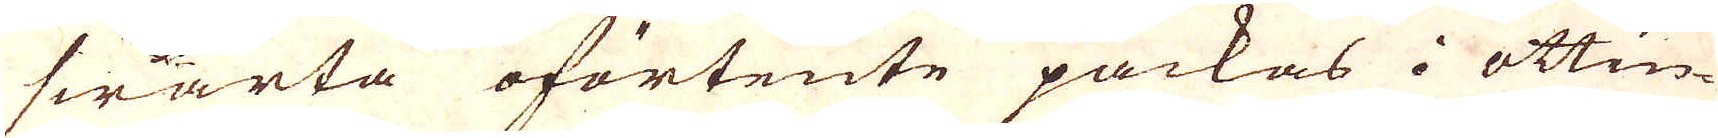swarta oförtente packas i ottin-
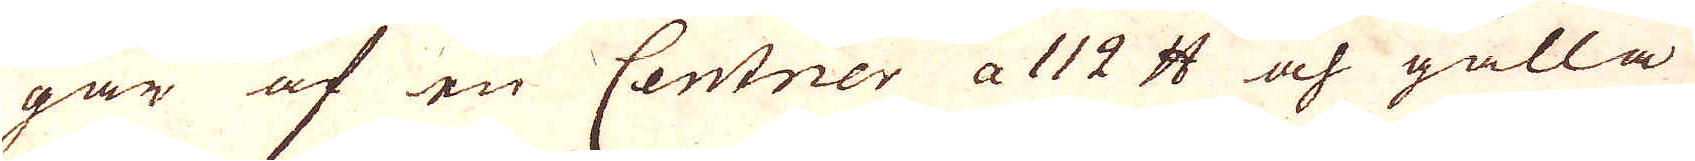gar af en Centner a 112 skålpund och gälla
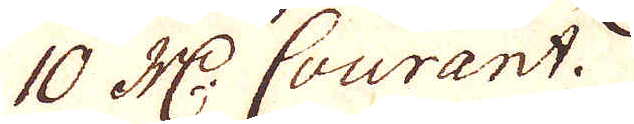10 R:dr Courant.
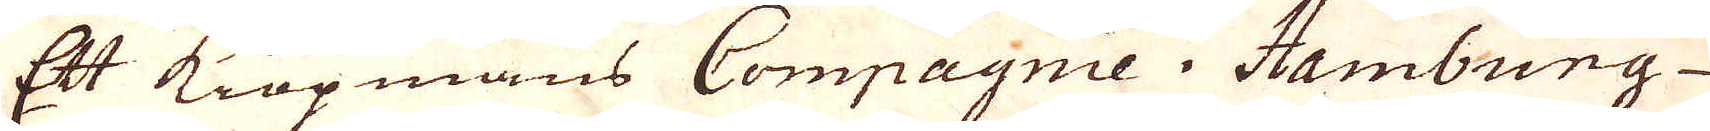Ett kiöpmans Compagnie i Hamburg
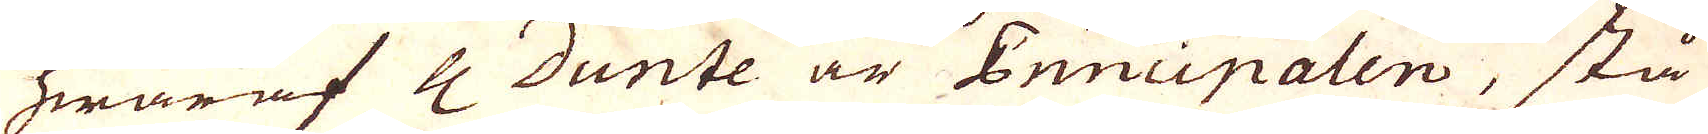hwaraf H Dunte är Principalen, stå
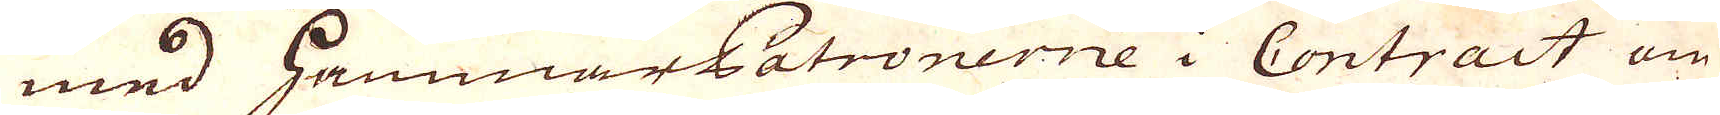med hammarPatronerne i Contract om
